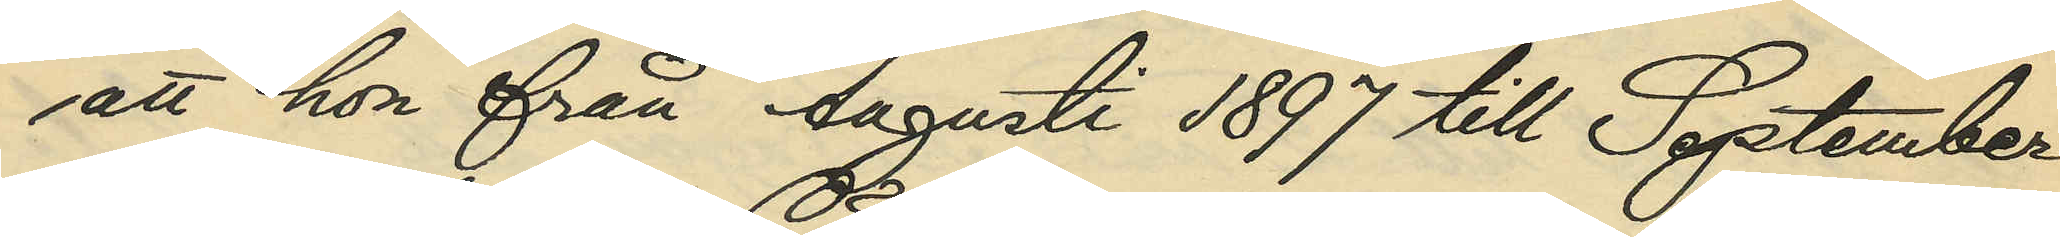att hon från Augusti 1897 till September
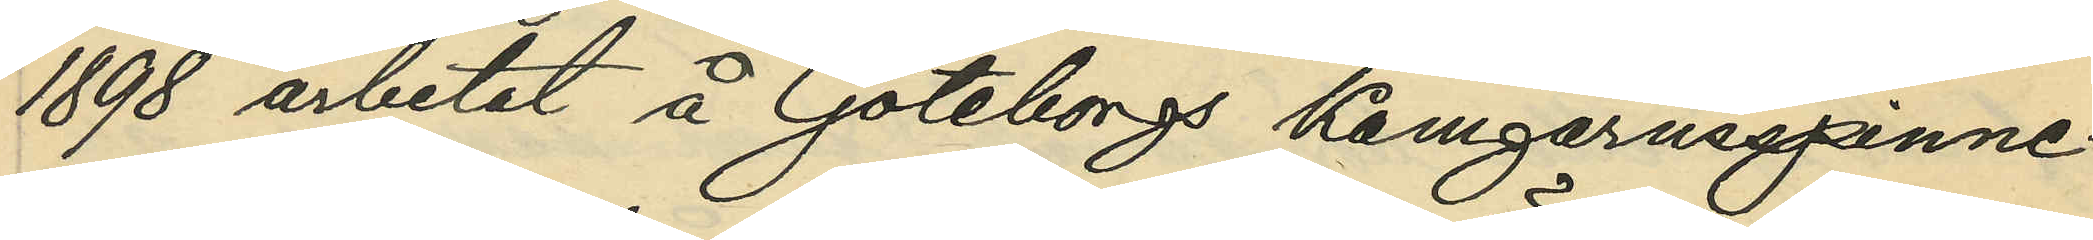1898 arbetat å Göteborgs Kamgarnsspinne¬
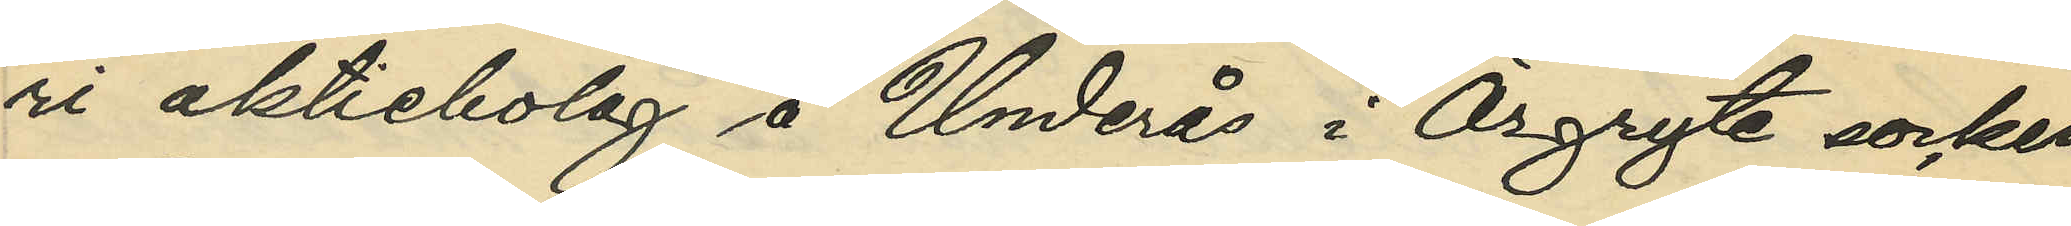ri aktiebolag å Underås i Örgryte socken
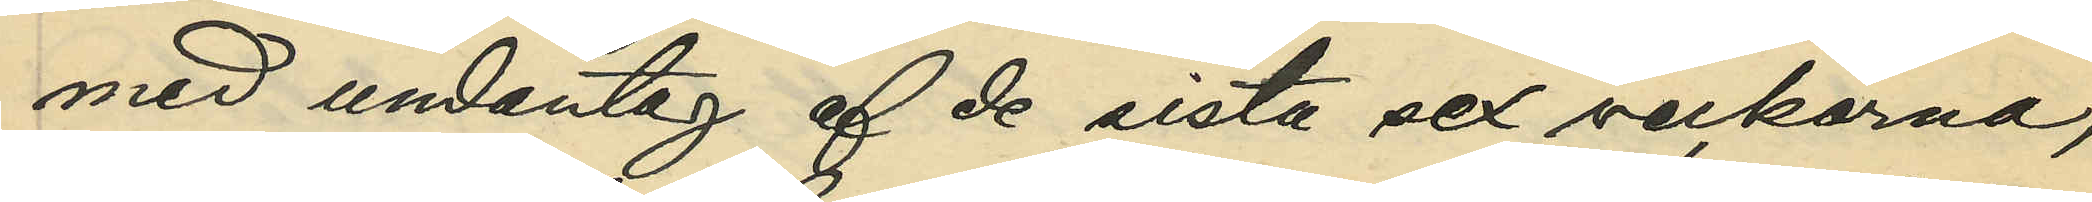med undantag af de sista sex veckorna,
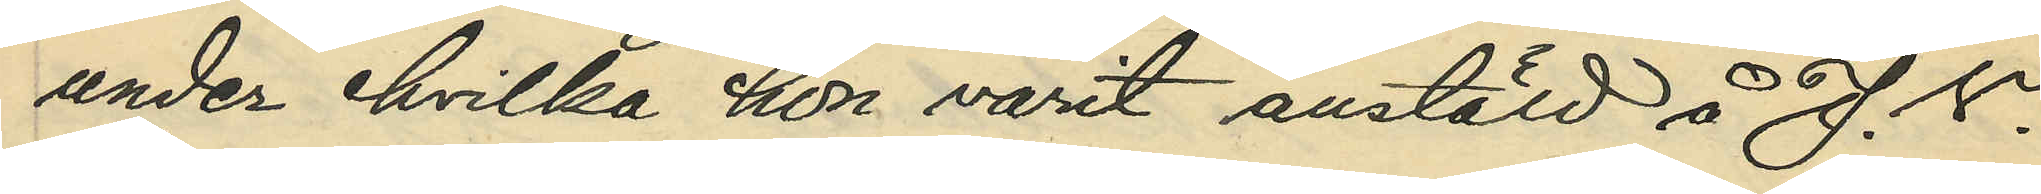under hvilka hon varit anstäld å J. V.
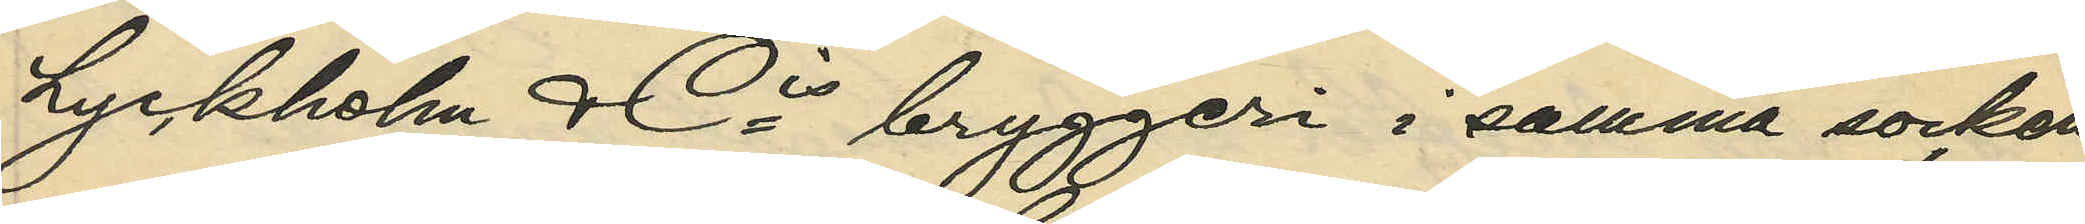Lyckholm & Cis bryggeri i samma socken;
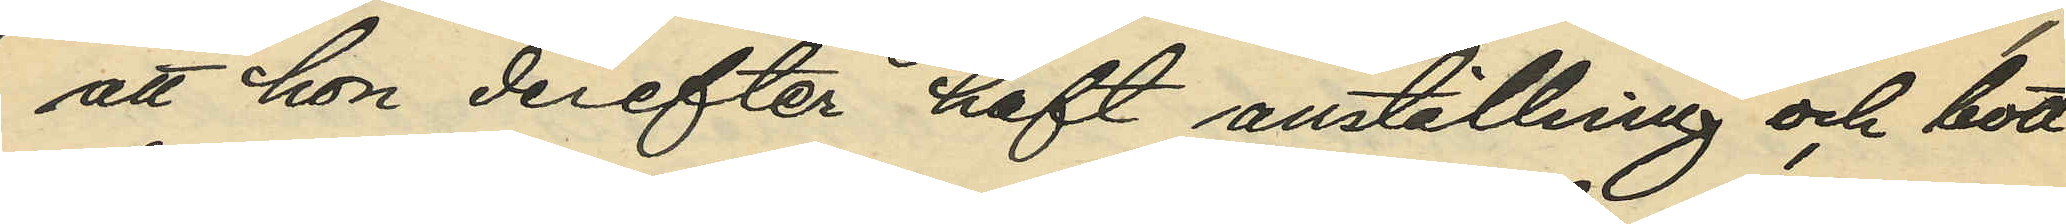att hon derefter haft anställning och bott
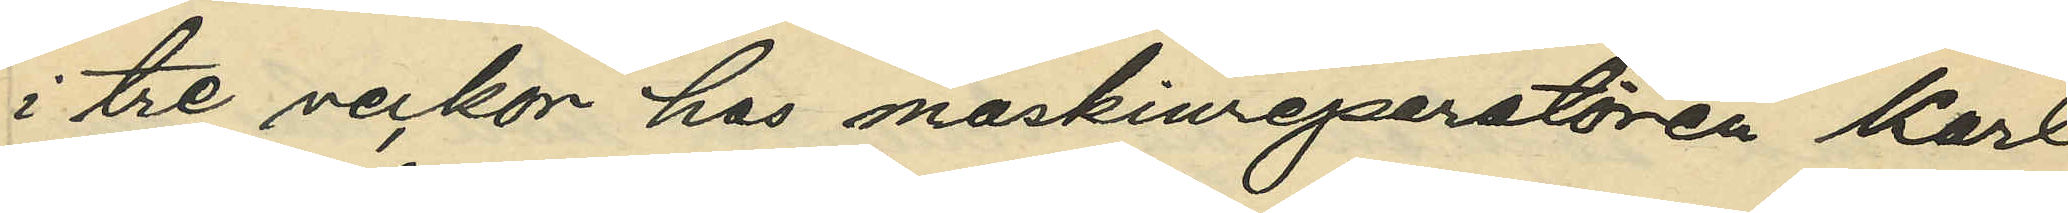i tre veckor hos maskinreparatören Karl
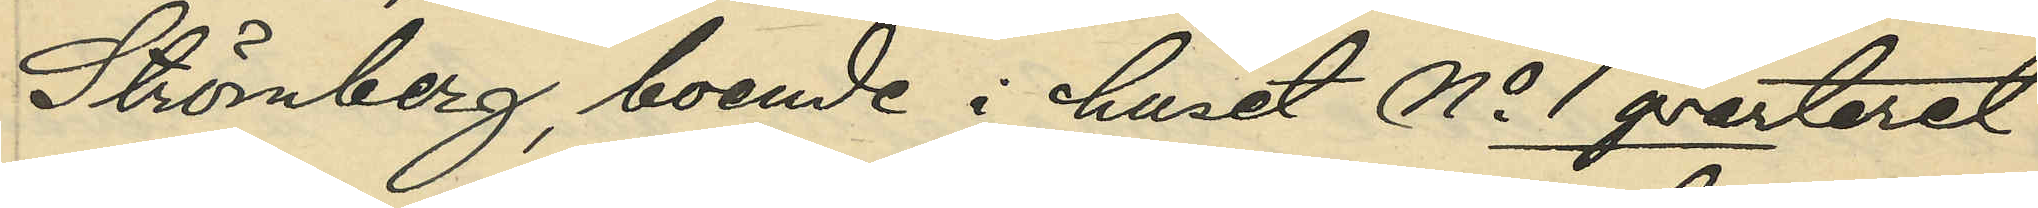Strömberg, boende i huset No 1 qvarteret
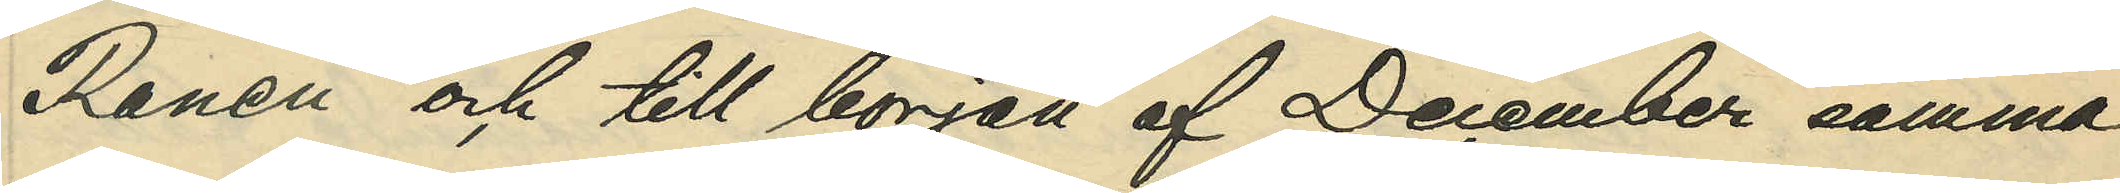Renen och till början af December samma
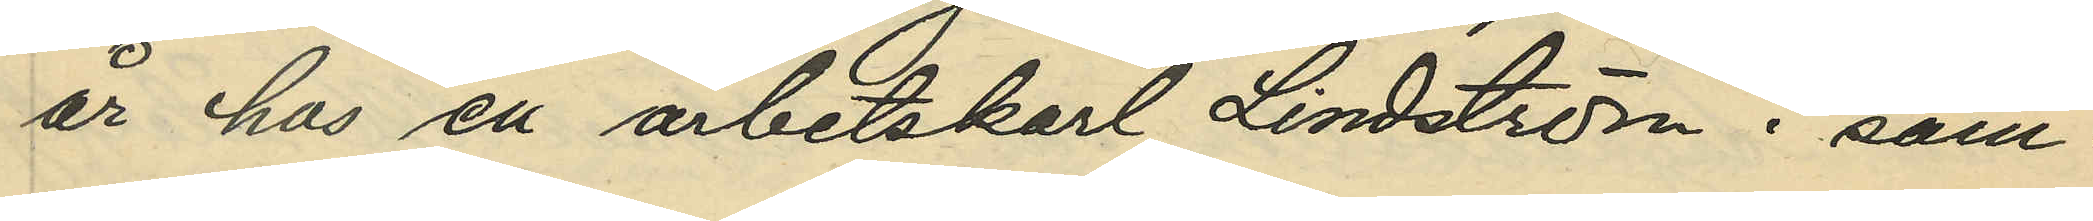år hos en arbetskarl Lindström i sam¬
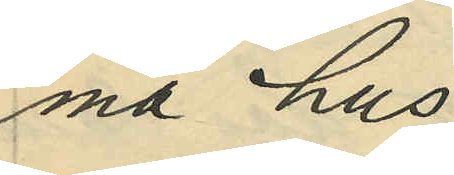ma hus;
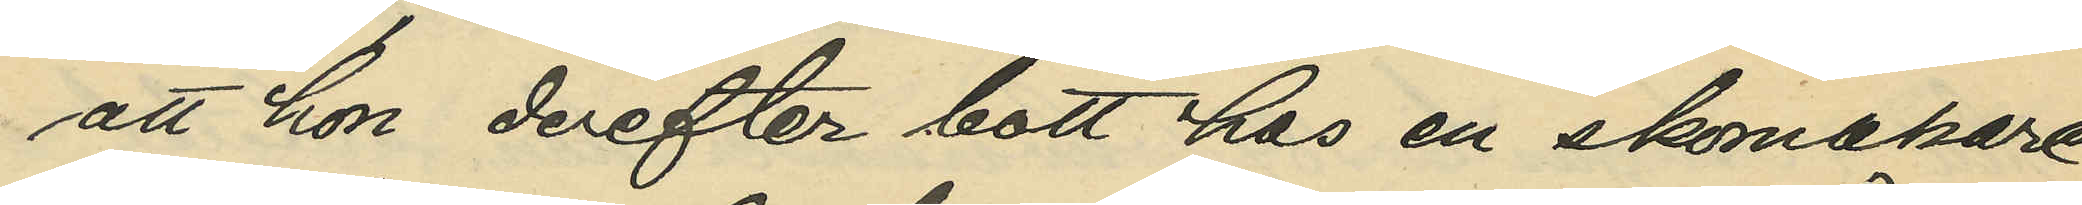att hon derefter bott hos en skomakare
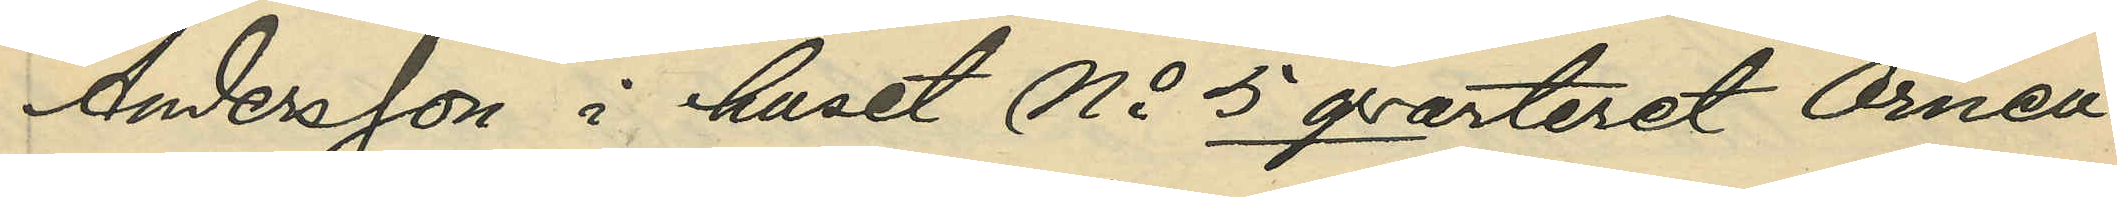Andersson i huset No 5 qvarteret Örnen
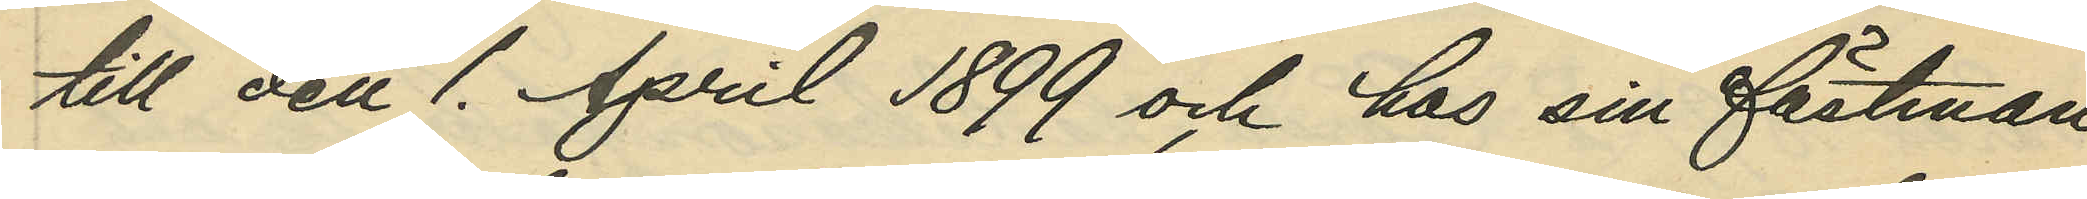till den 1. April 1899 och hos sin fästman
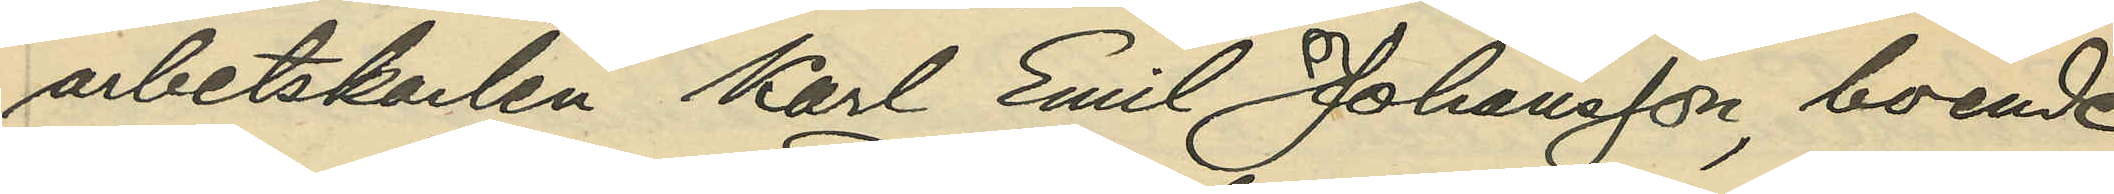arbetskarlen Karl Emil Johansson, boende
